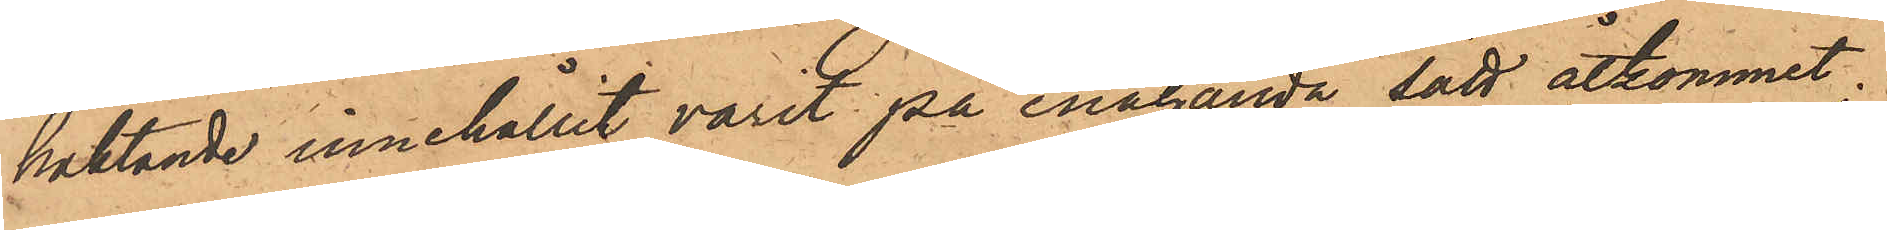häktande innehållit varit på enahanda sätt åtkommet;
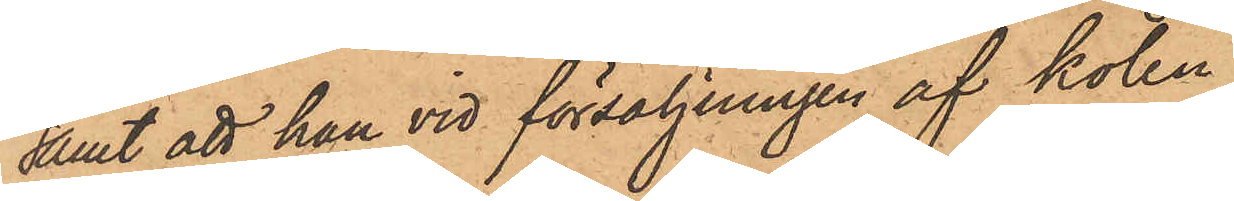samt att han vid försäljningen af kolen
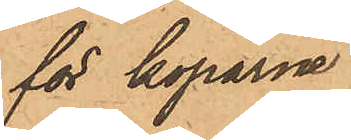för köparne
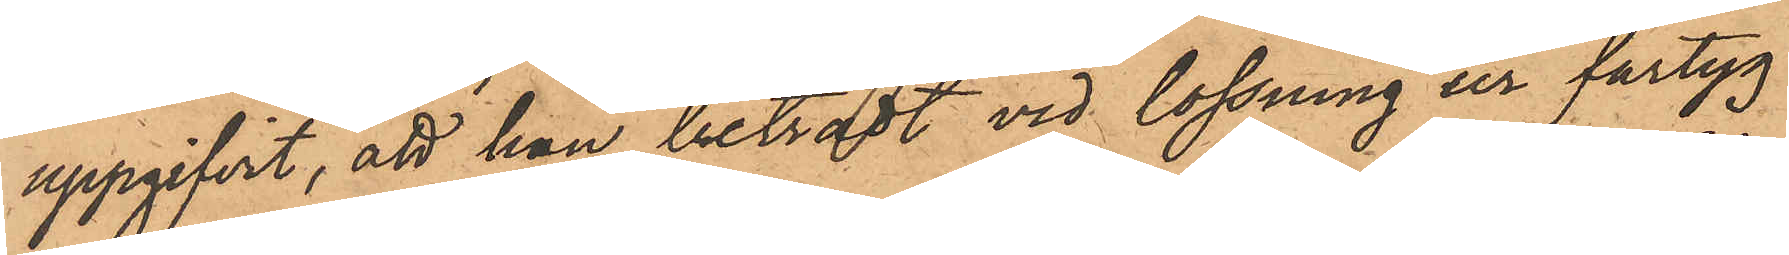uppgifvit, att han biträdt vid lossning ur fartyg
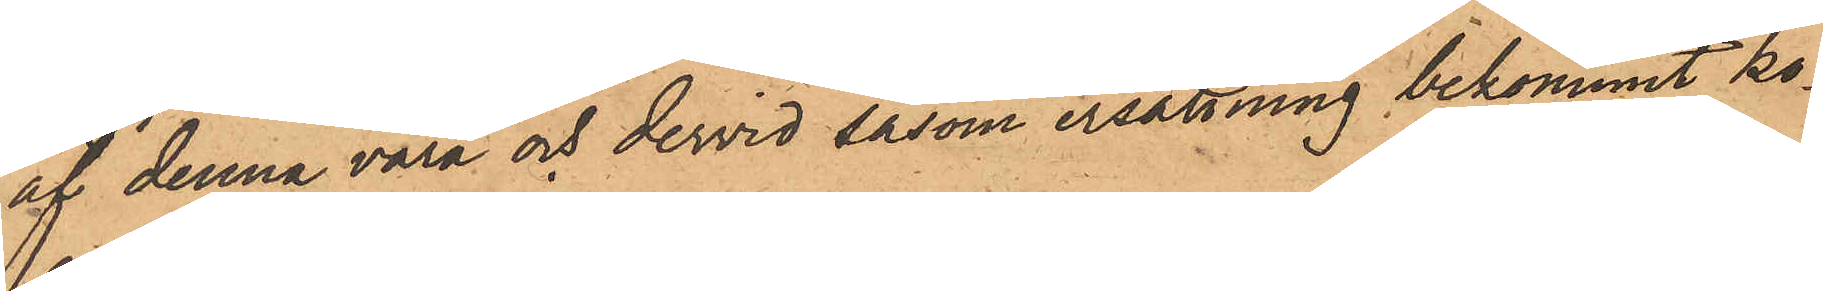af denna vara och dervid såsom ersättning bekommit ko¬
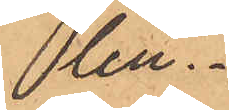len.
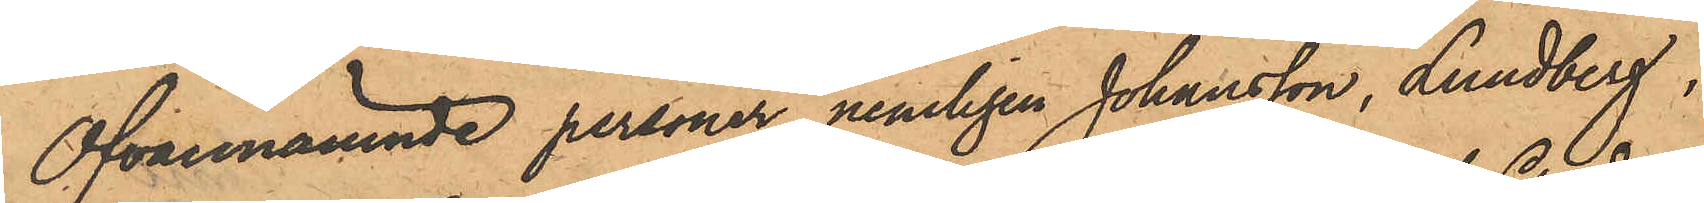Ofvannämnde personer, nemligen Johansson, Lundberg,
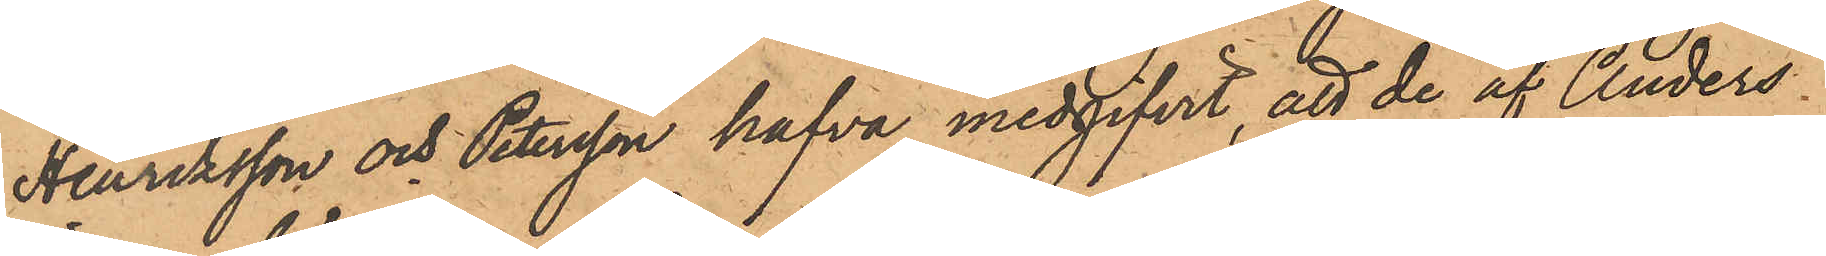Henriksson och Petersson hafva medgifvit, att de af Anders
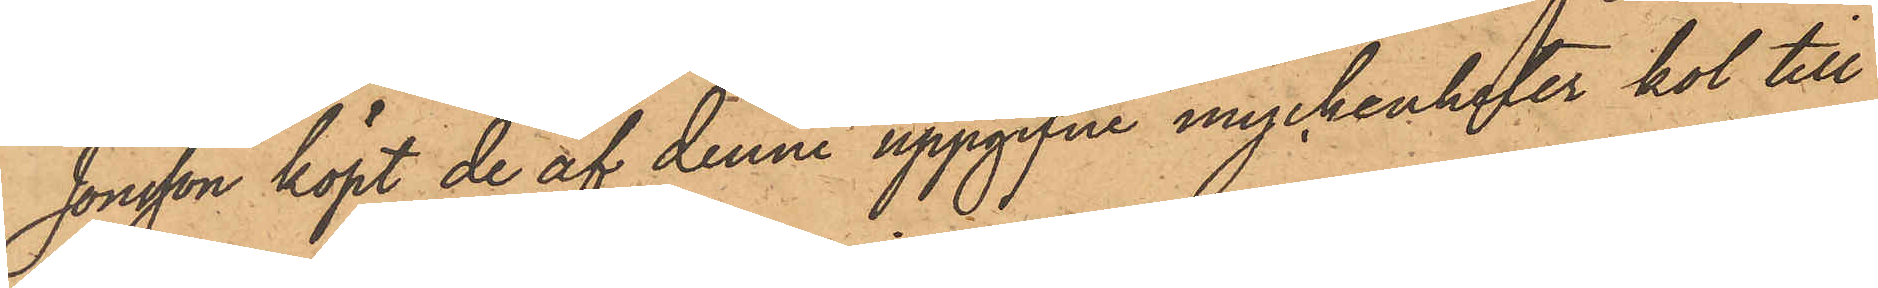Jonsson köpt de af denne uppgifne myckenheter kol till
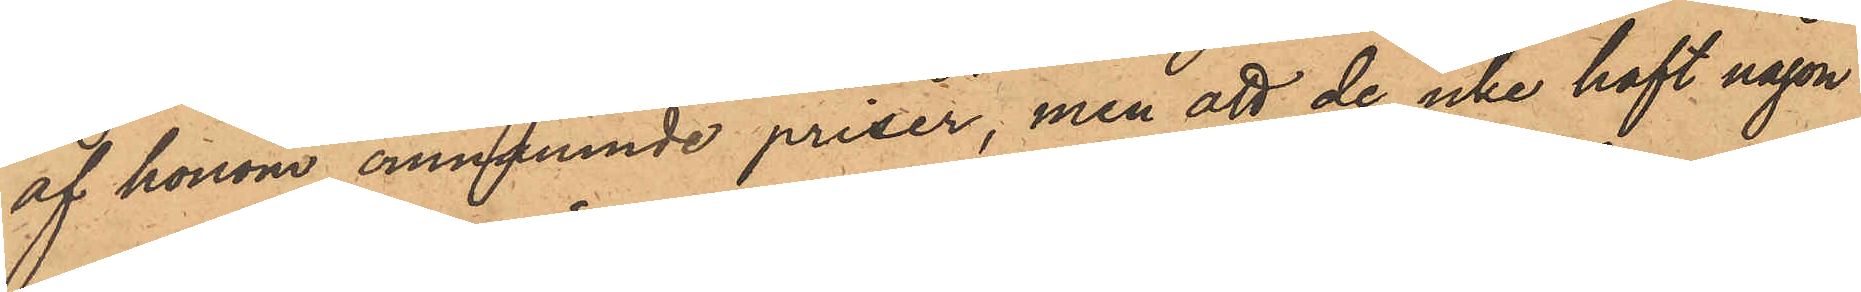af honom omnämnde priser, men att de icke haft någon
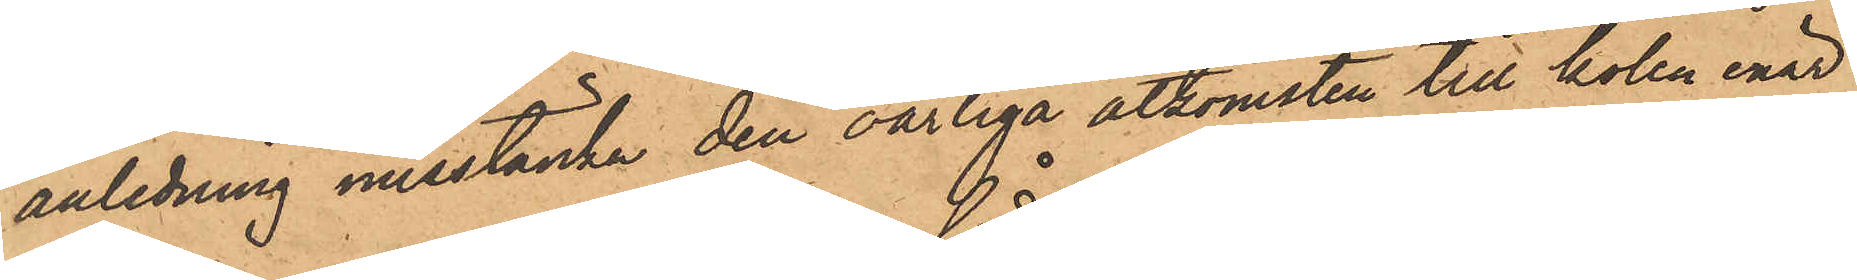anledning misstänka den oärliga åtkomsten till kolen, enär
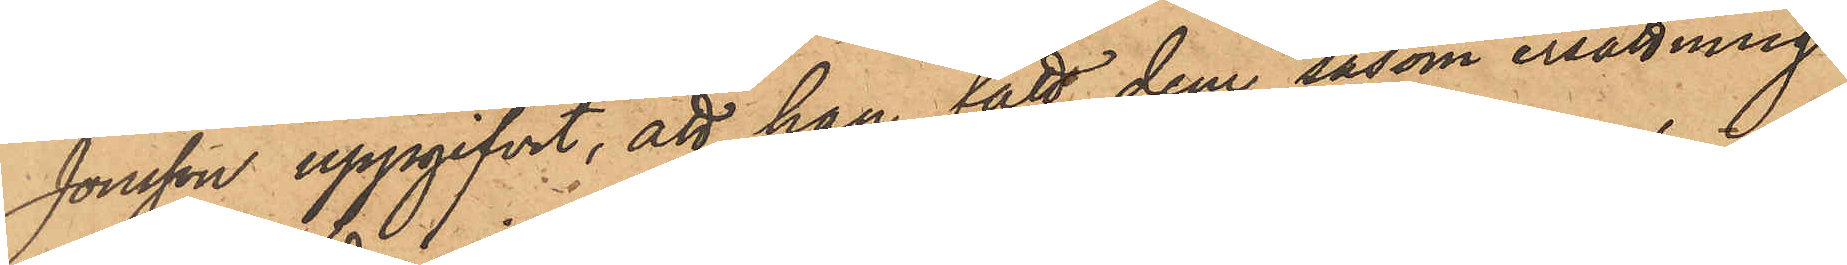Jonsson uppgifvit, att han fått dem såsom ersättning
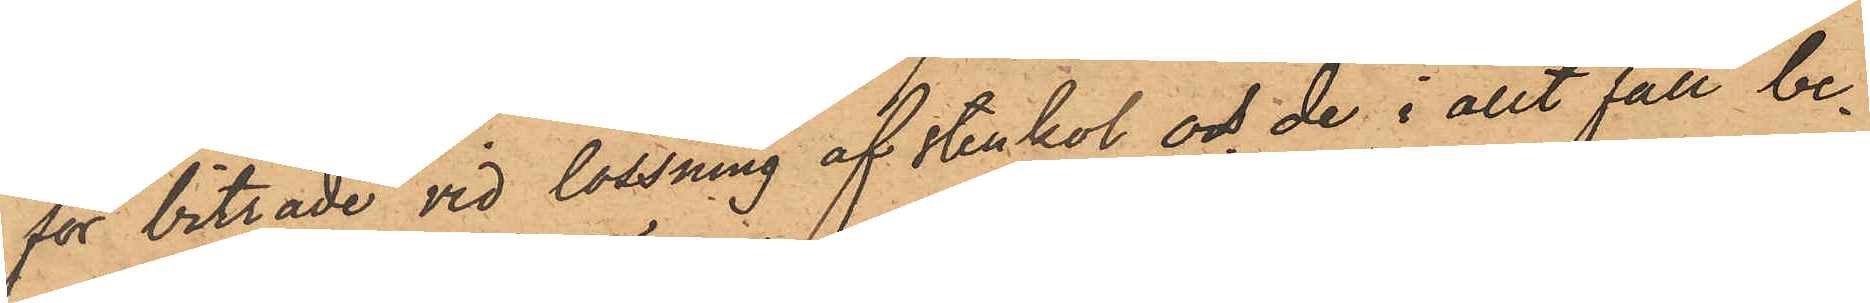för biträde vid lossning af stenkol och de i allt fall be¬
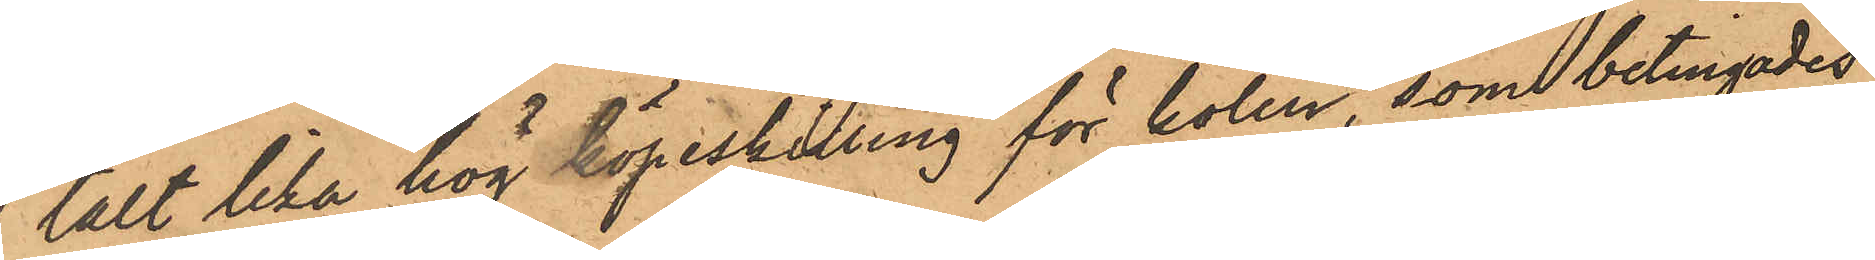talt lika hög köpeskilling för kolen, som betingades
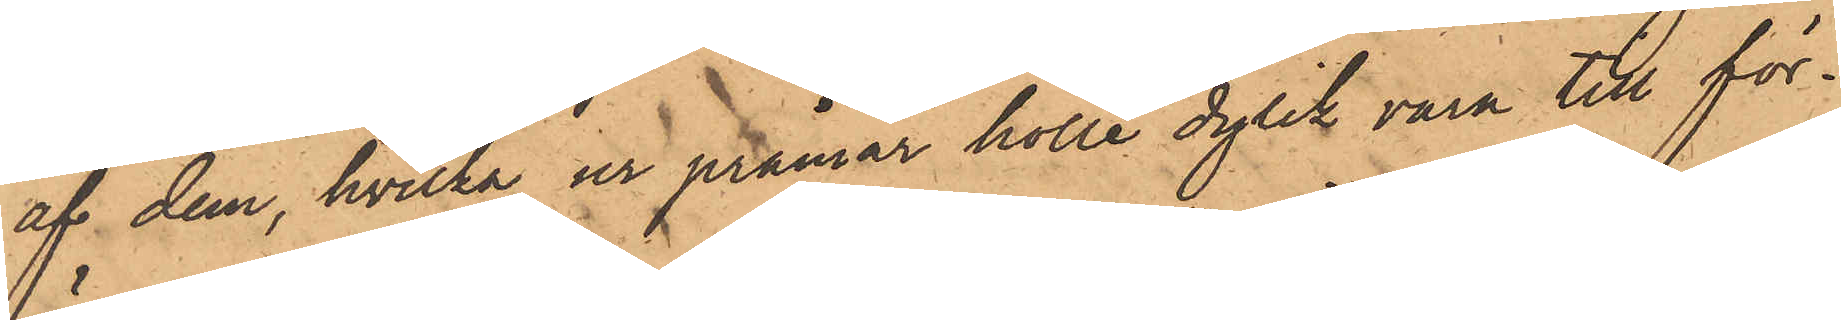af dem, hvilka ur pråmar hölle dylik vara till för¬
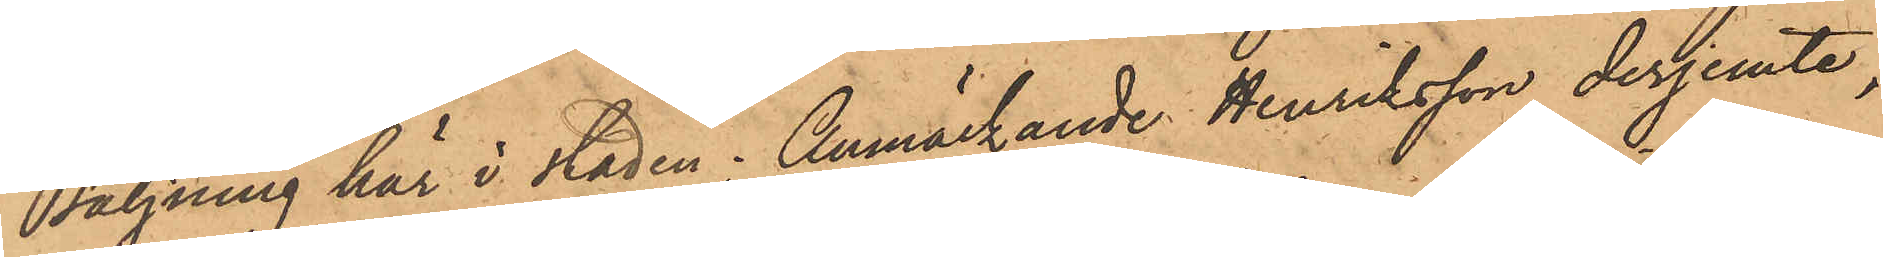säljning här i staden; Anmärkande Henriksson derjemte
